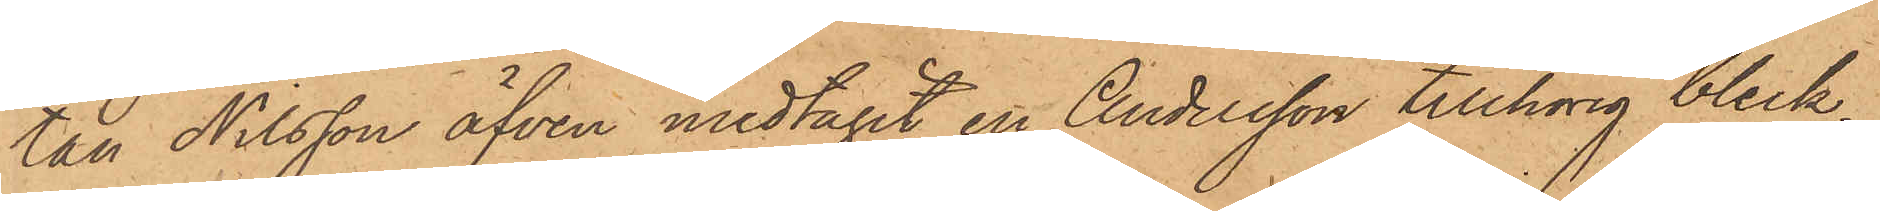tan Nilsson äfven medtagit en Andersson tillhörig bleck¬
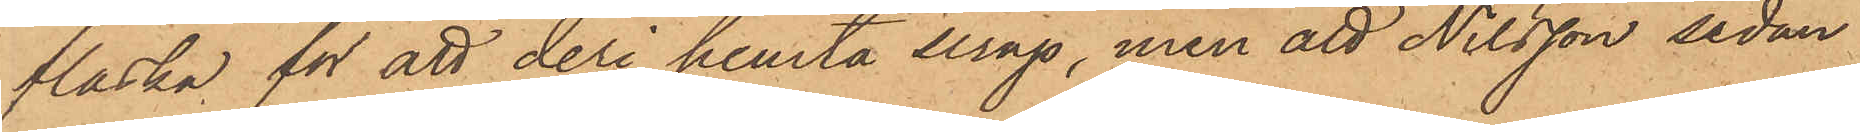flaska för att deri hemta sirap, men att Nilsson sedan
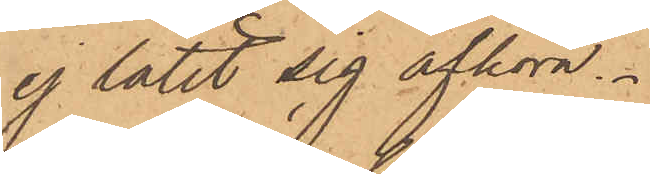ej låtit sig afhöra.
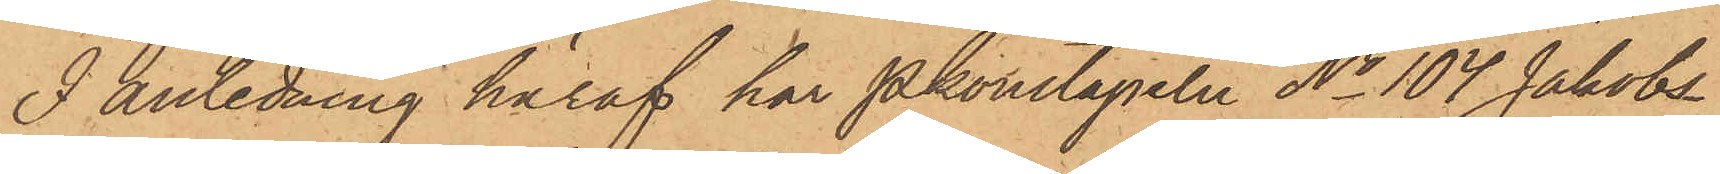I anledning häraf har Pkonstapeln No 104 Jakobs¬
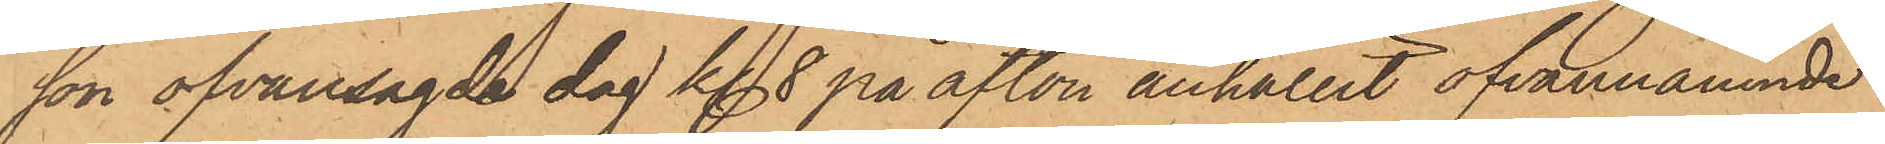son ofvansagde dag kl 8 på afton anhållit ofvannämnde
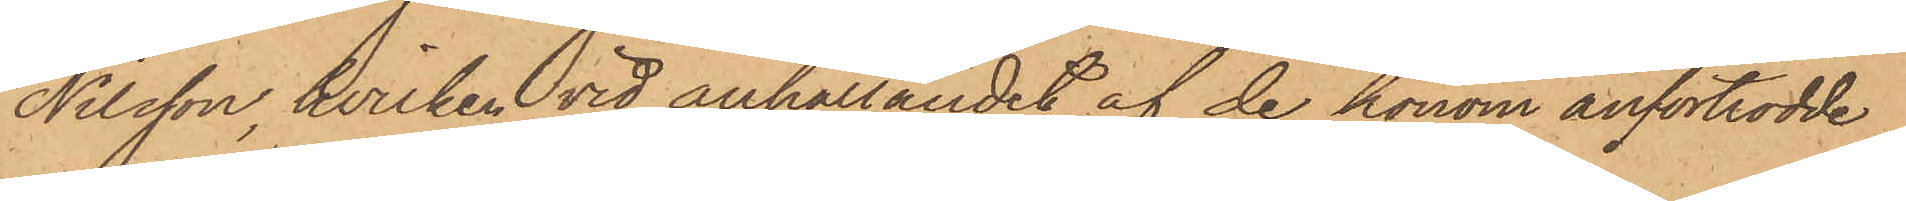Nilsson, hvilken vid anhållandet af de honom anförtrodde
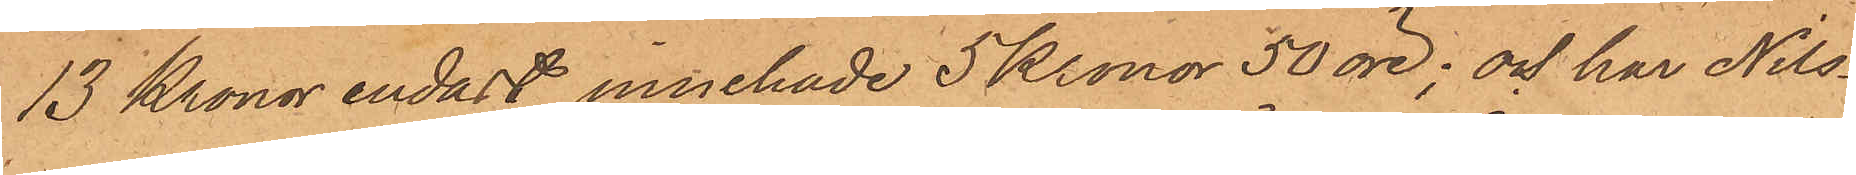13 Kronor endast innehade 5 Kronor 50 öre; och har Nils¬
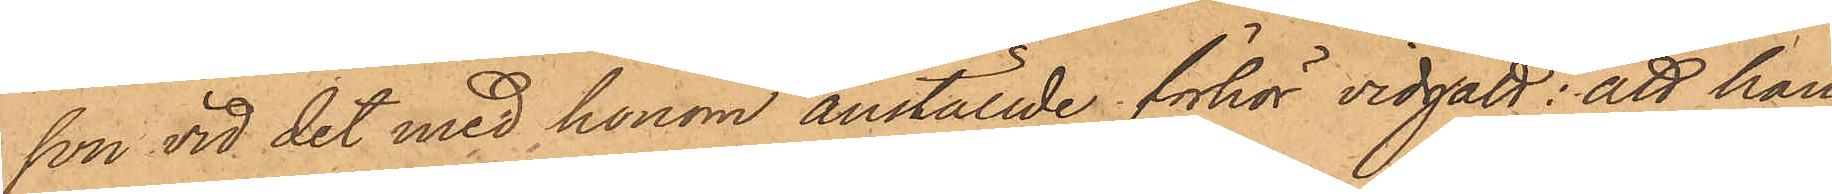son vid det med honom anställde förhör vidgått: att han,
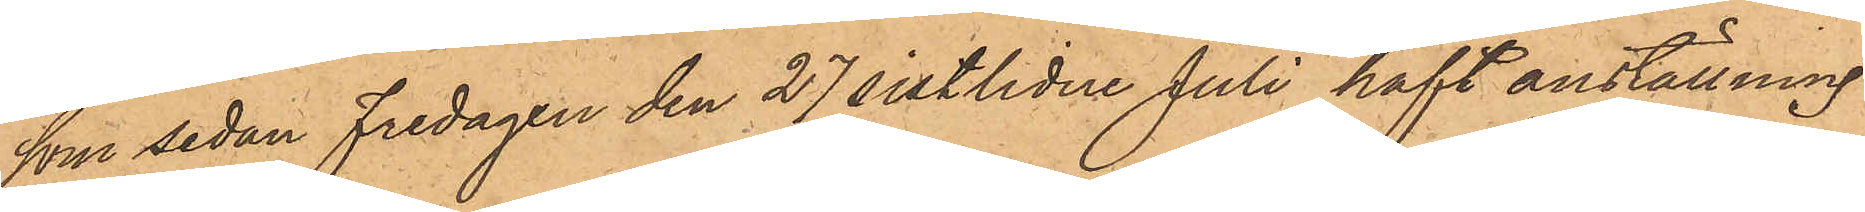som sedan Fredagen den 27 sistlidne Juli haft anställning
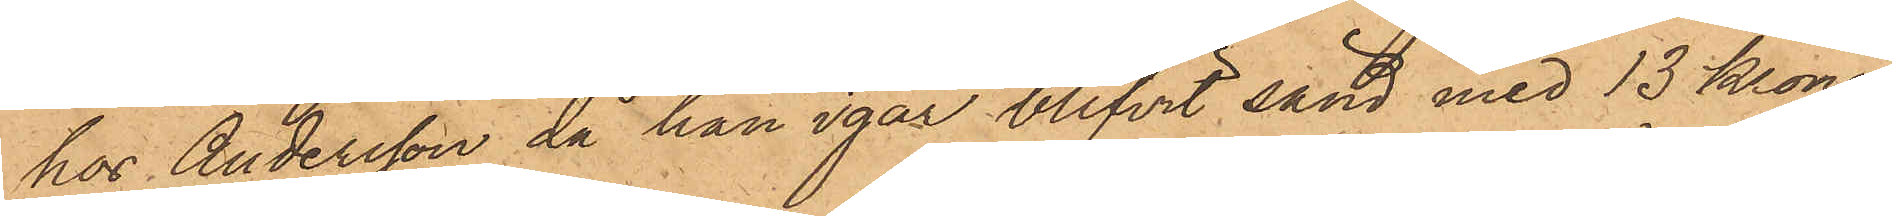hos Andersson, då han igår blifvit sänd med 13 Kronor
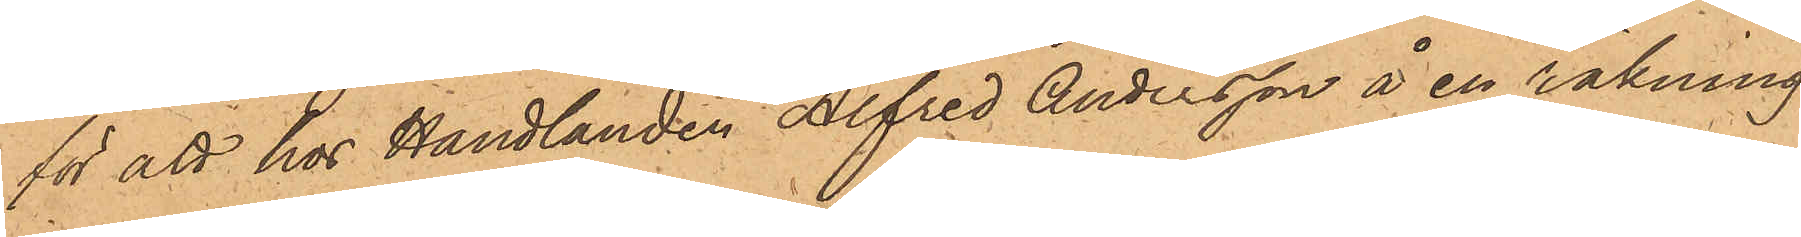för att hos Handlanden Alfred Andersson å en räkning
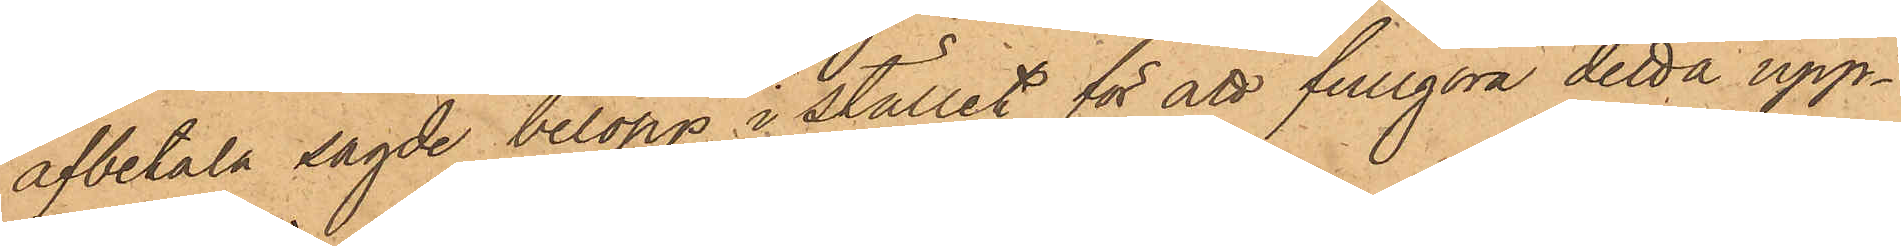afbetala sagde belopp, i stället för att fullgöra detta upp¬
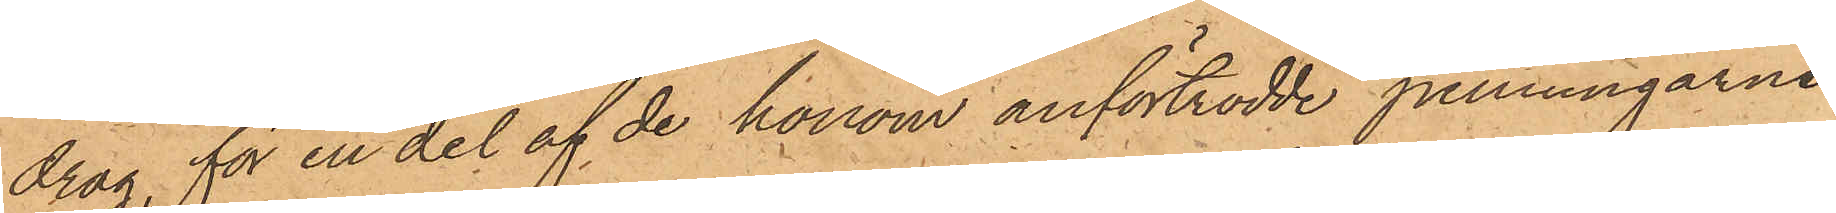drag, för en del af de honom anförtrodde penningarne
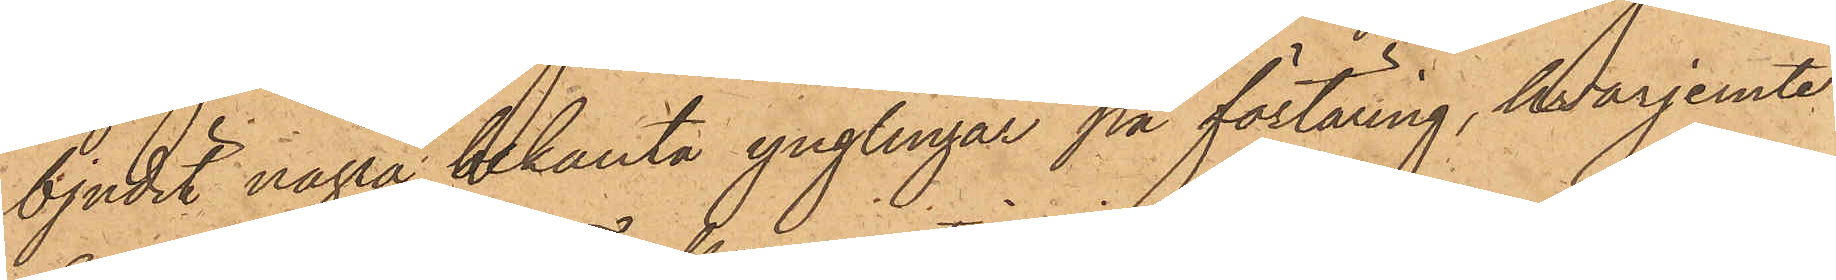bjudit några bekanta ynglingar på förtäring, hvarjemte
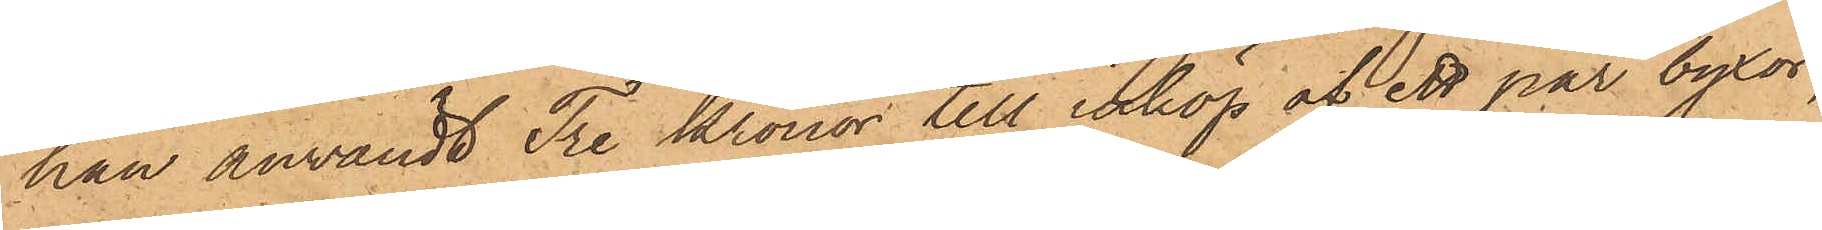han användt Tre Kronor till inköp af ett par byxor,
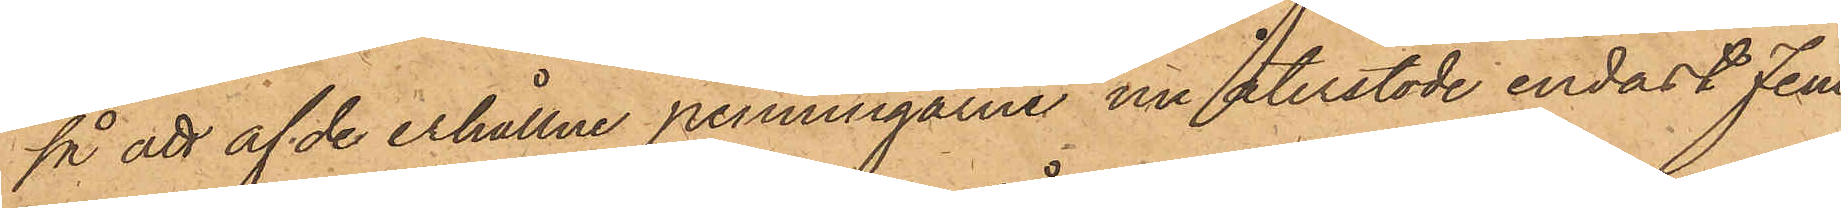så att af de erhållne penningarne nu återstode endast fem¬
